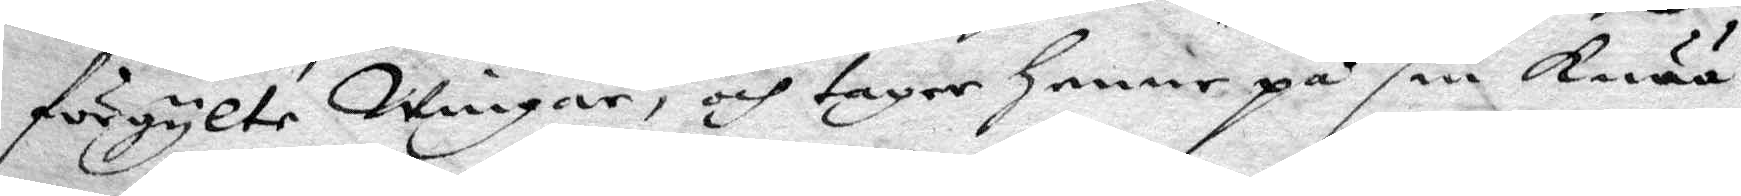förgylte wingar, och tager henne på sin Knää
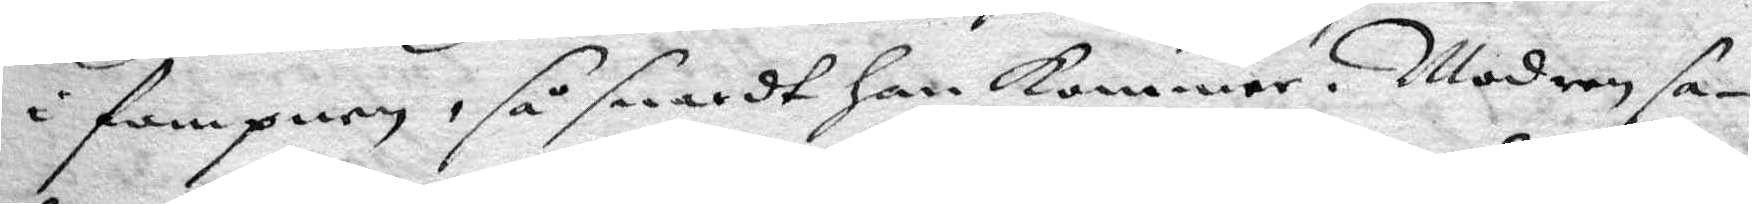i fampnen, så snardt Han kommer. Modren sa¬
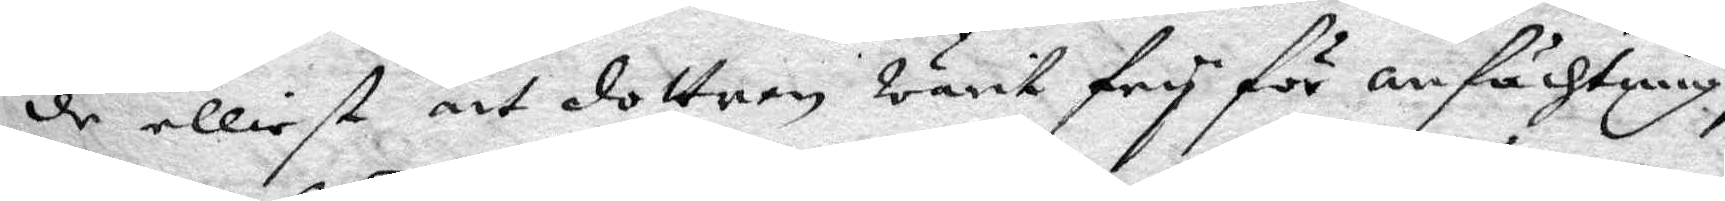de elliest att dottren warit fry för anfächtning,
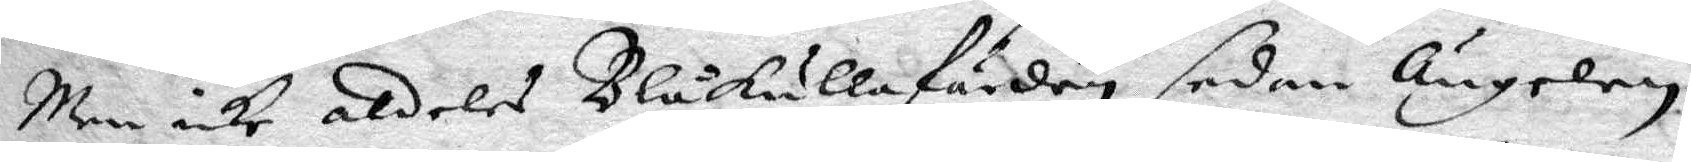Men icke aldeles Blåkullafärden sedan Ängelen
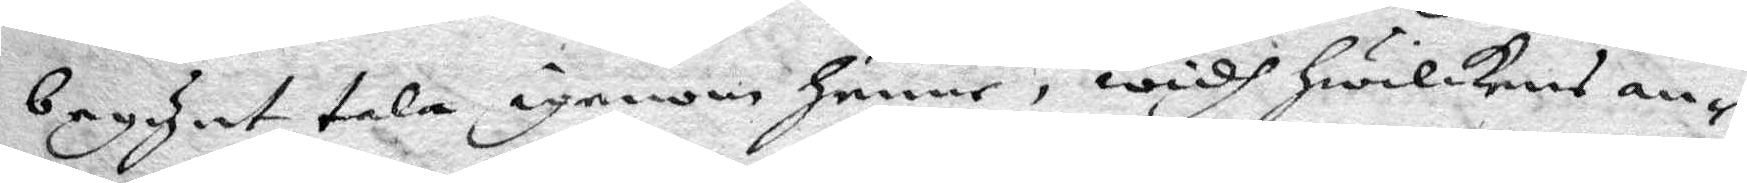begynt tala igenom henne, widh hwilkens an¬
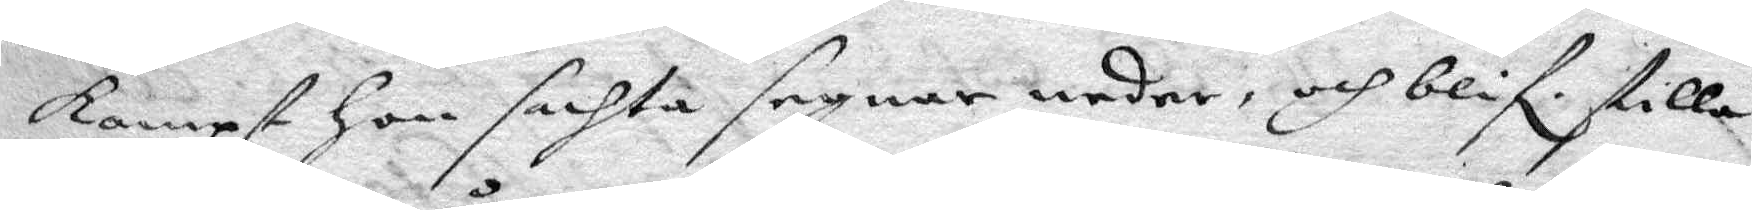kompst Hon sachta segnar neder, och blif. stilla
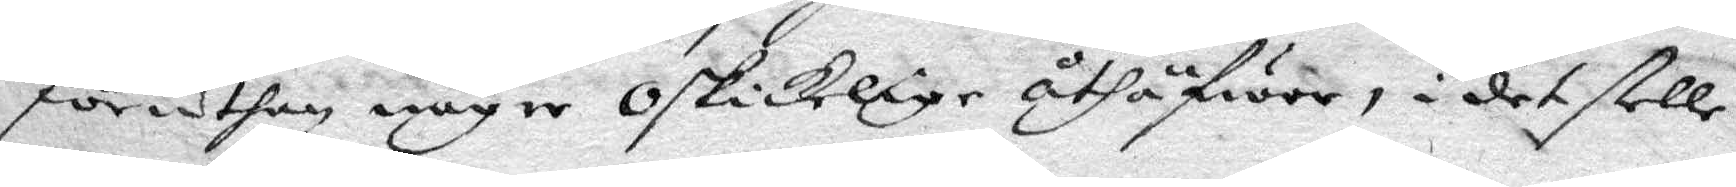föruthan någre oskickelige uthäfwor, i det stelle
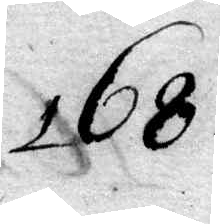168.
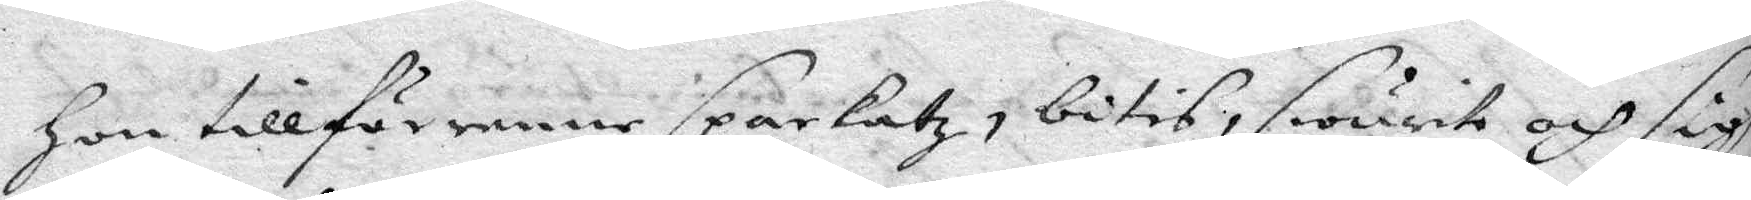Hon tillförenne sparkatz, bitis, swurit och sigh
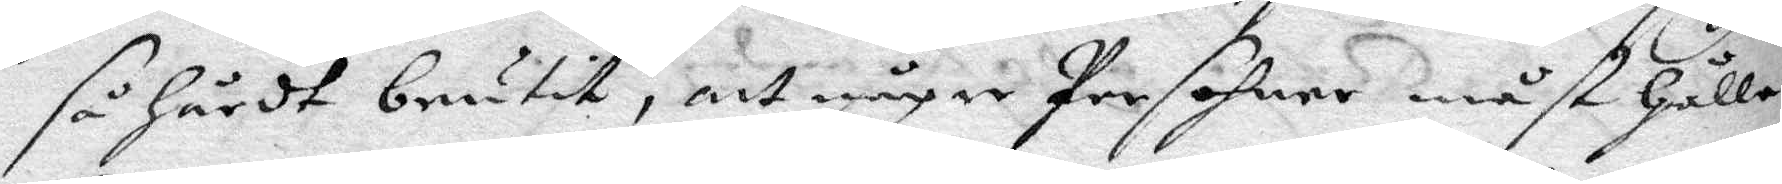så hårdt brutit, att någre Persohner måst Hålle
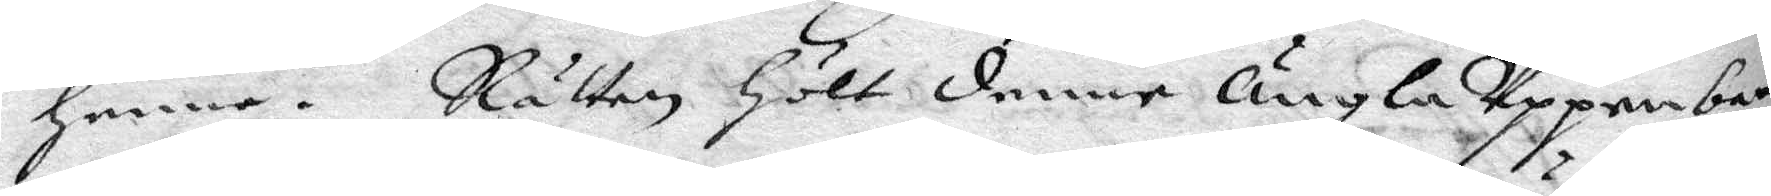henne. Rätten hölt denne Ängla Uppenba¬
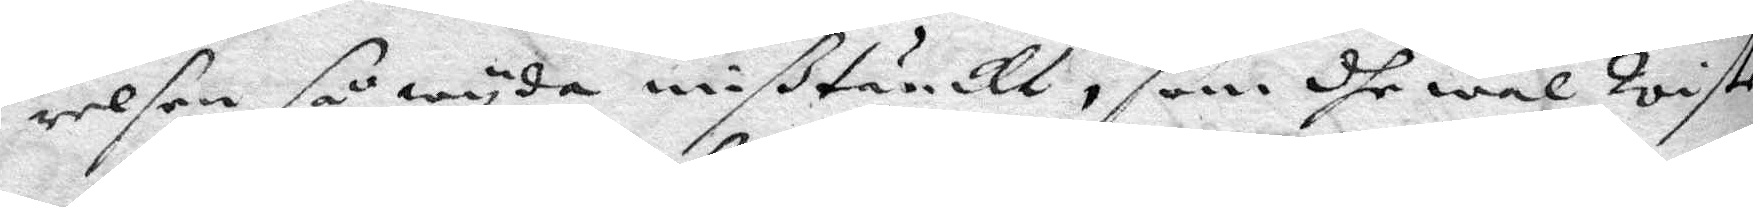relsen så wyda mißtänckt, som dhe wäl wiste
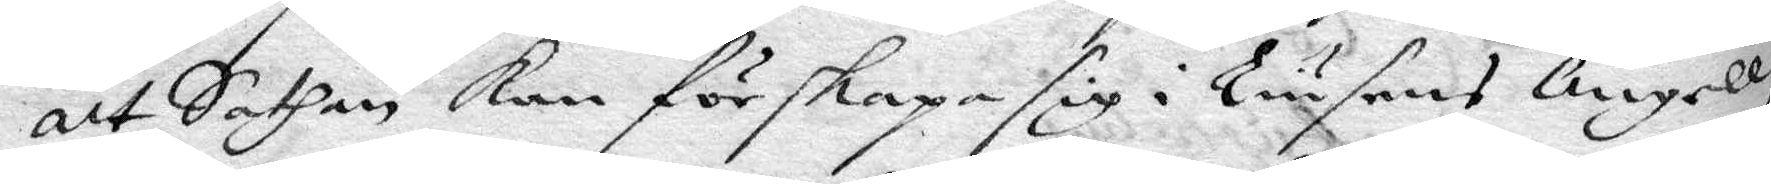att Sathan kan förskapa sig i Liusens Ängell,
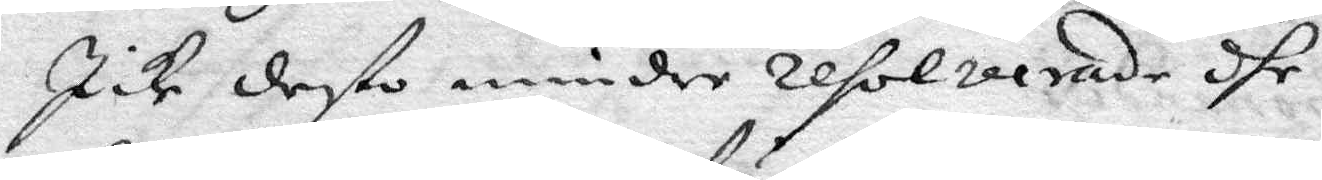Icke desto mindre resolverade dhe, 
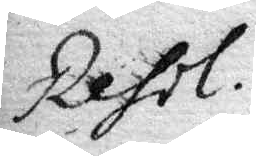Resol.
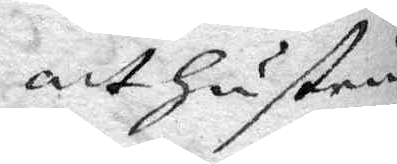att Hustru
